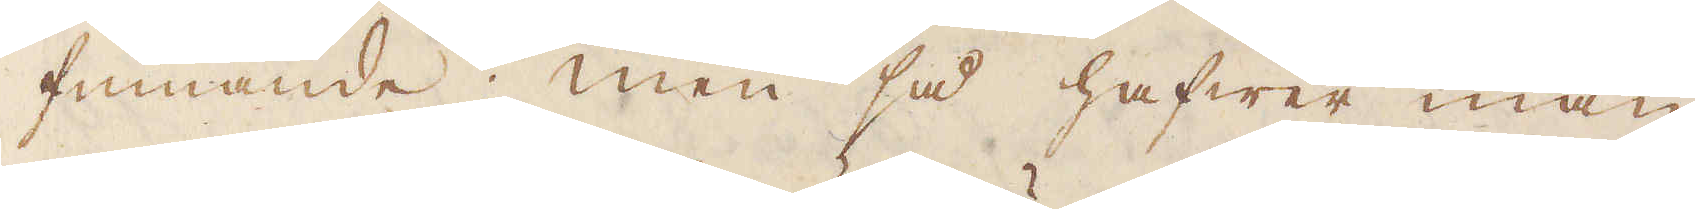finnande; men så hafwer man
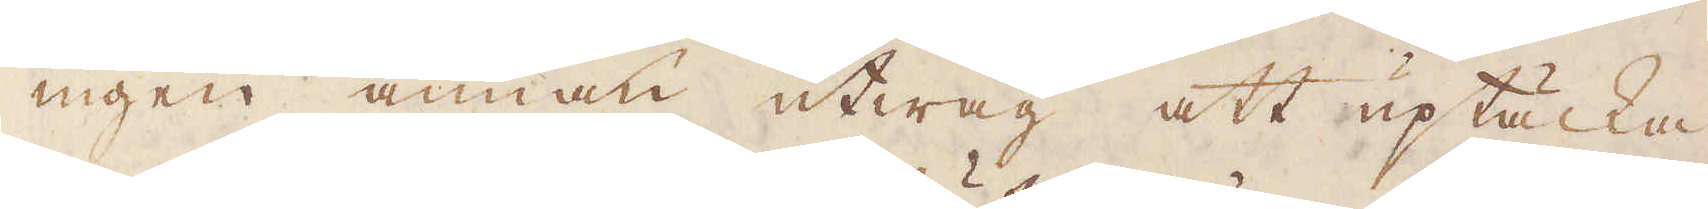ingen annan utwäg att uptäcka
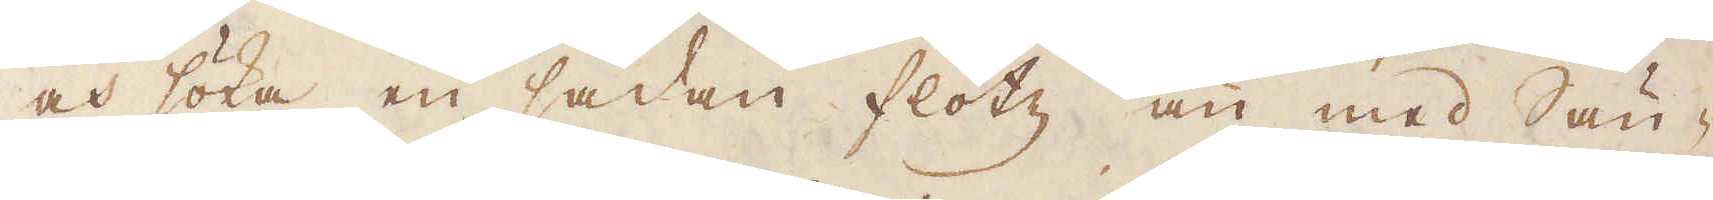och söka en sådan flötz än med Sän-
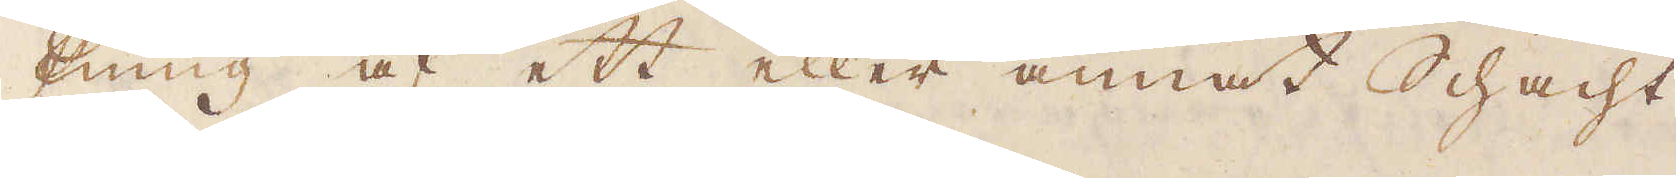kning af ett eller annat Schacht
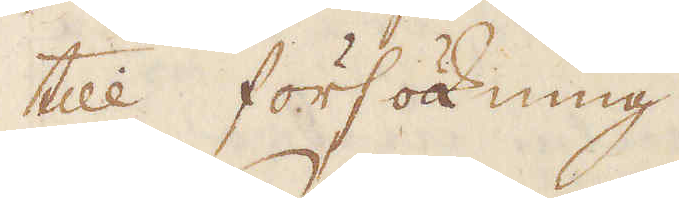till försökning.
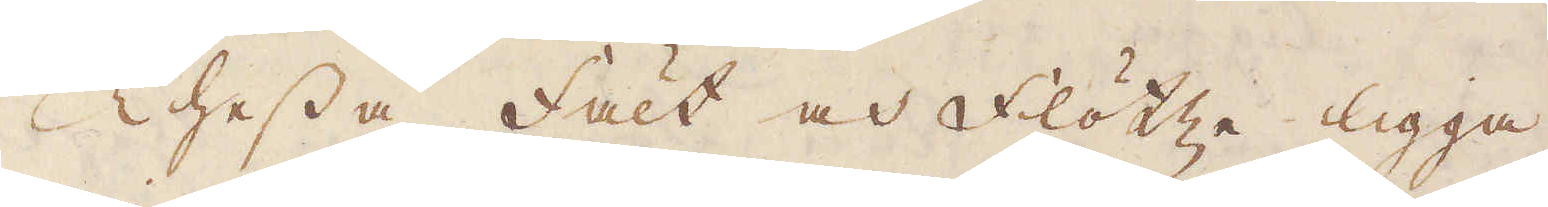Thessa Fält och Flötze ligga
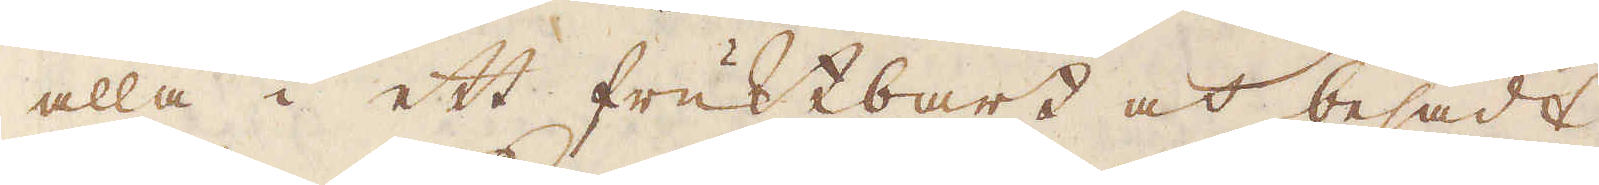alla i ett fruktbart och besådt
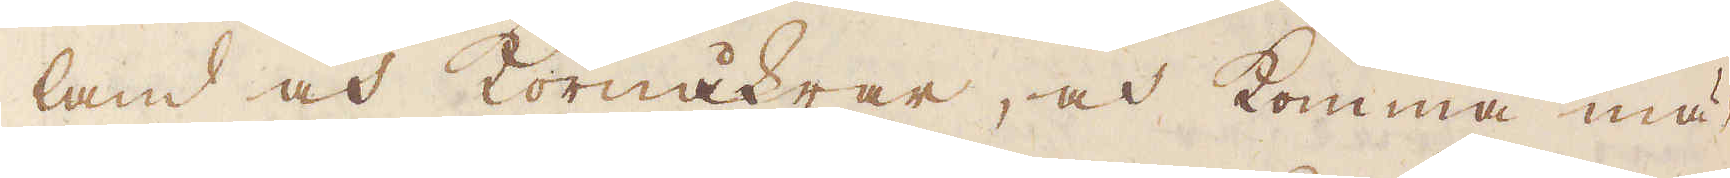land och Kornåkrar, och komma mä-
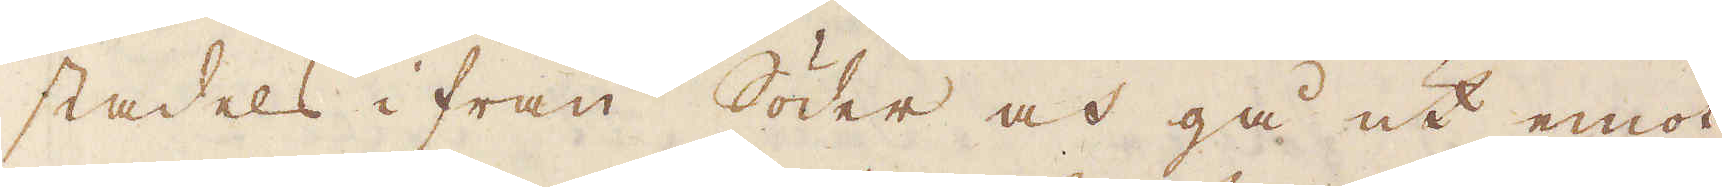stadels i från Söder och gå ut emot
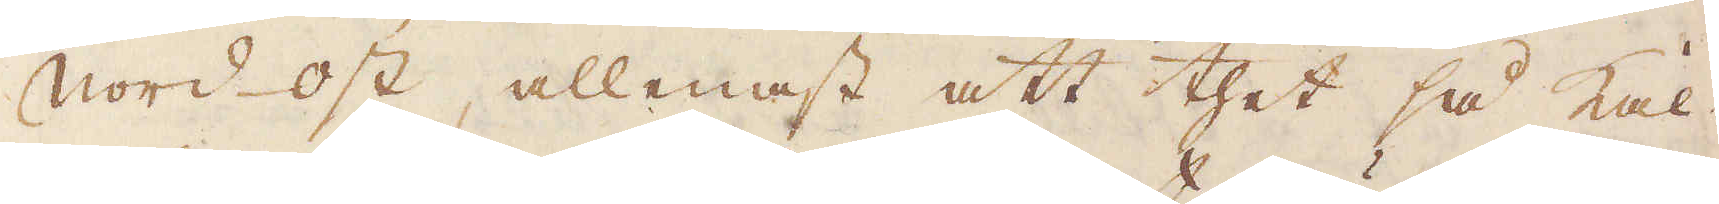Nord-ost, allenast att thet så kal-
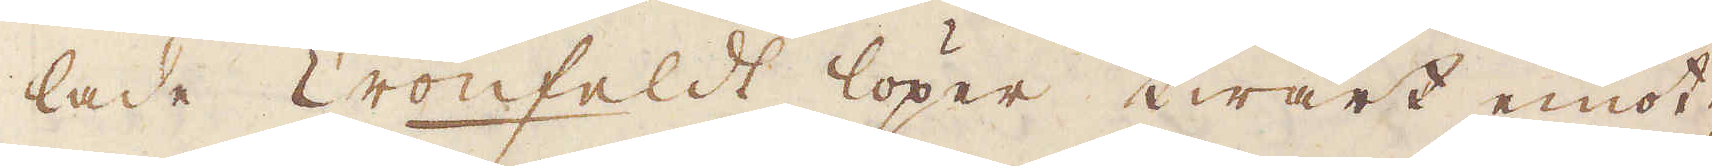lade Cronfeldt löper twärt emot;
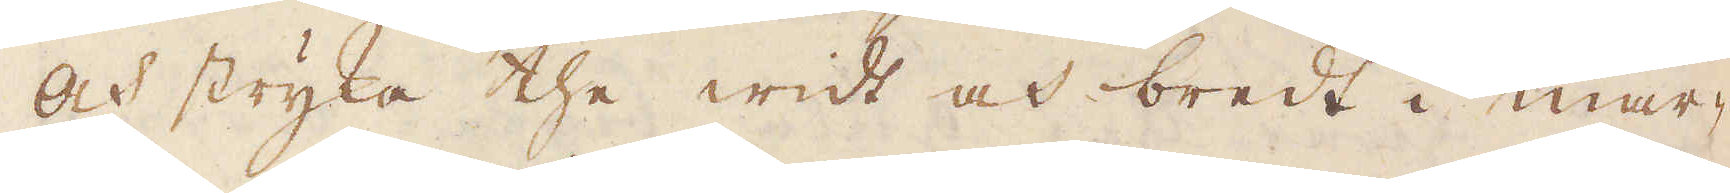Och stryka the widt och bredt i mar-
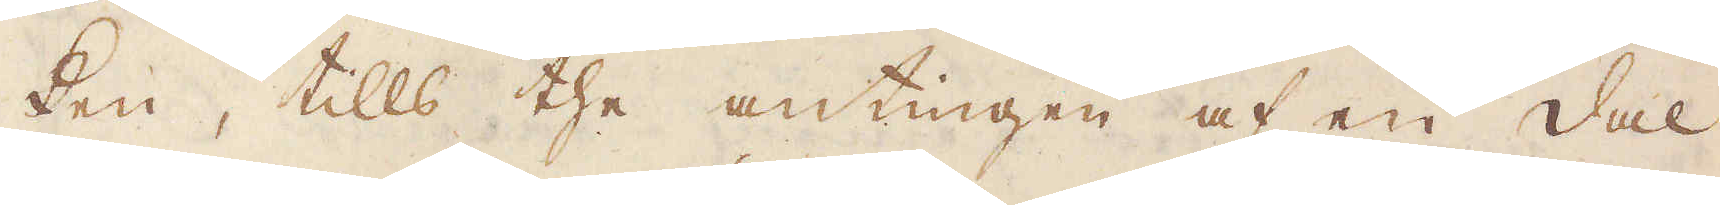ken, tills the antingen af en dal
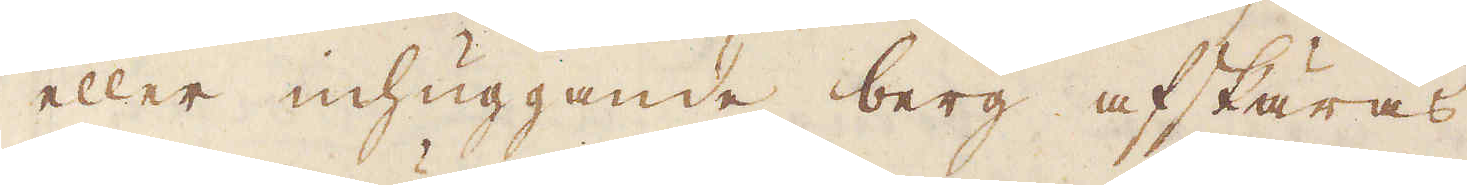eller inhuggande berg afskäras.
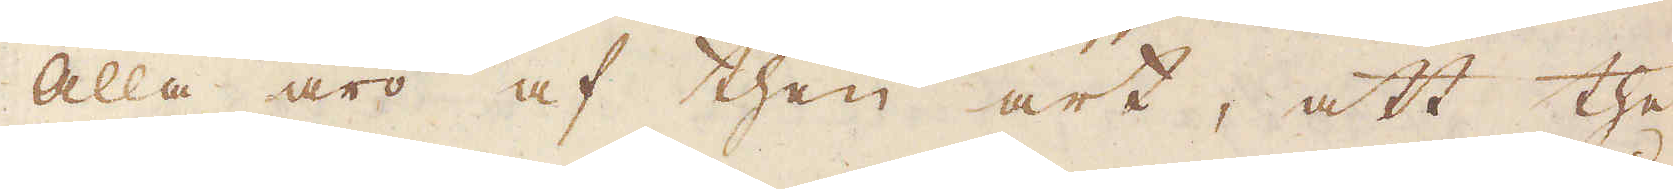Alla äro af then art, att the
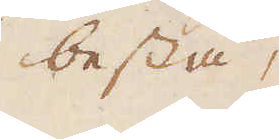bestå,
